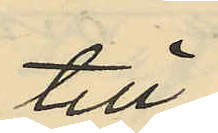till
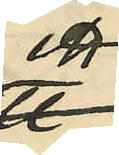en
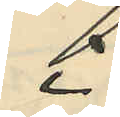i
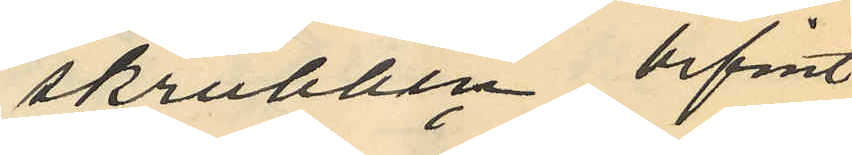skrubben befint¬
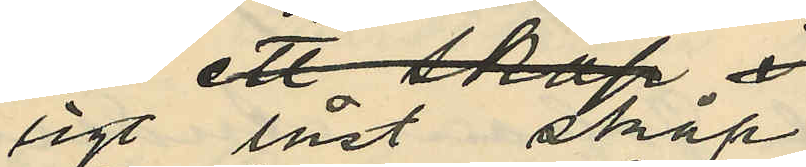ligt låst skåp
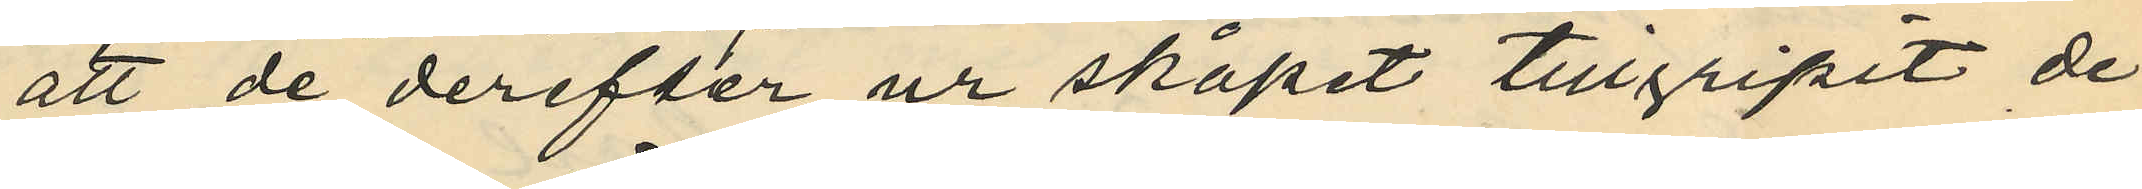att de derefter ur skåpet tillgripit de
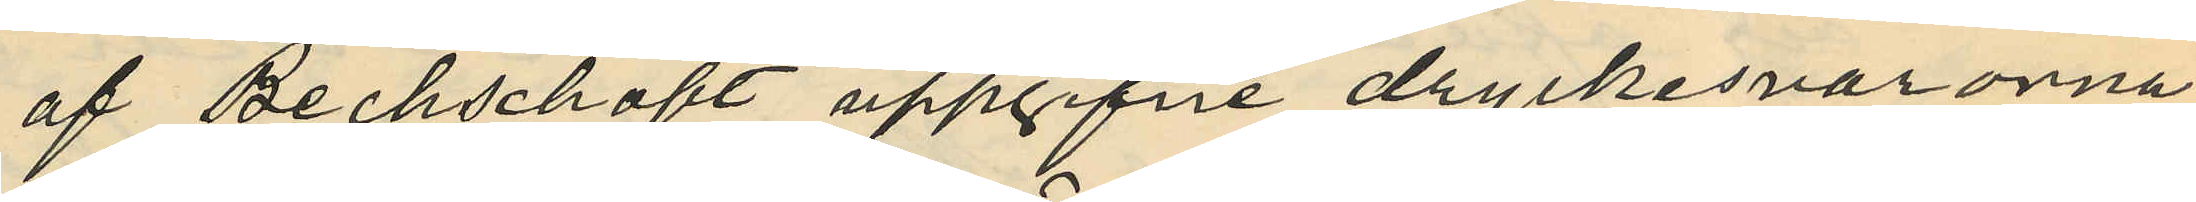af Bechschäft uppgifne dryckesvarorna
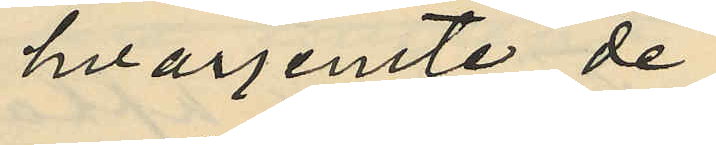hvarjemte de
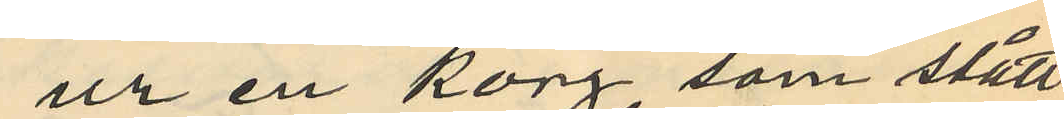ur en korg som stått
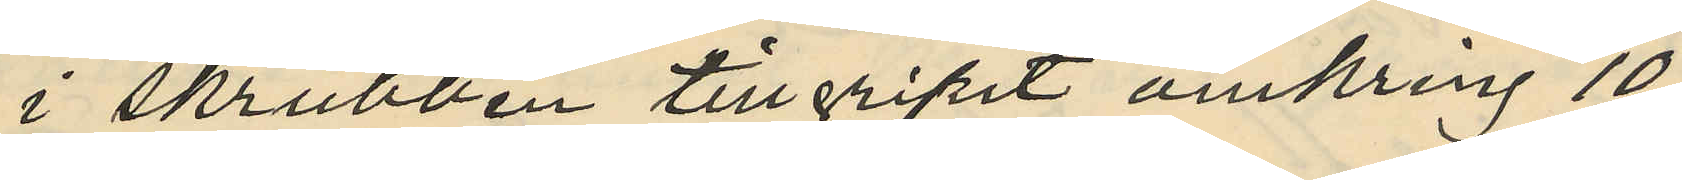i skrubben tillgripit omkring 10
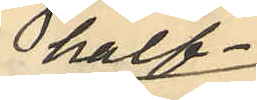half
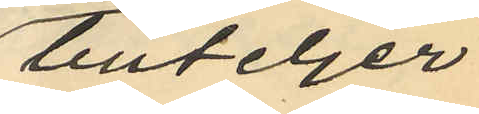buteljer
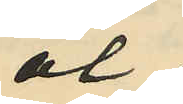öl
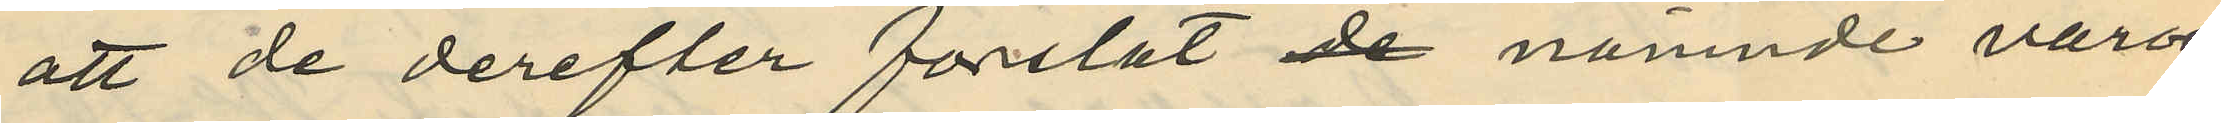att de derefter forslat de nämnde varor
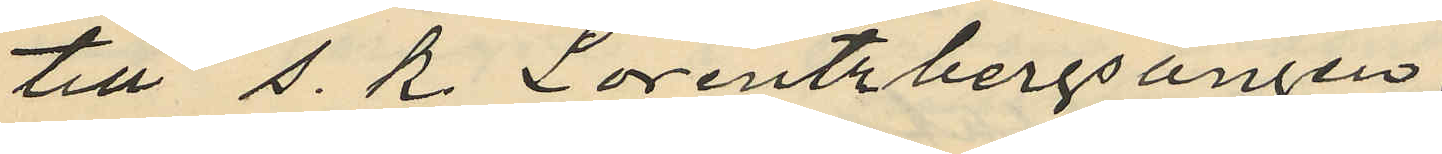till s. k. Lorentzbergsängen
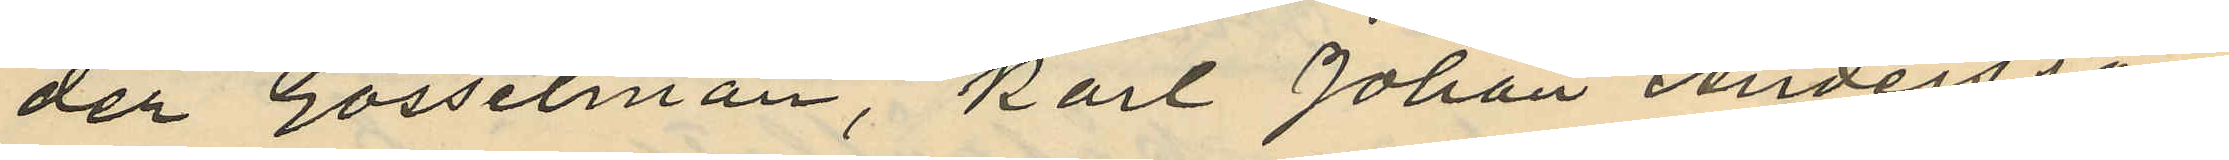der Gosselman, Karl Johan Andersson
